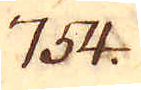754.
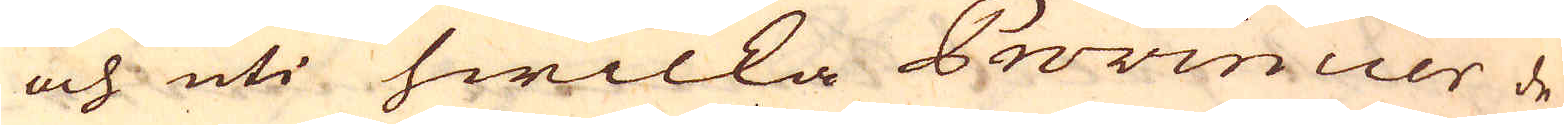och uti hwilka Provincier de
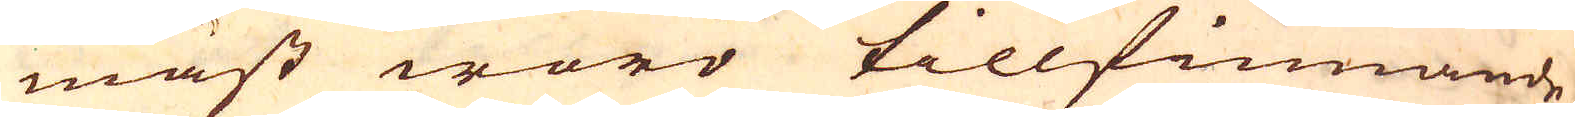mäst woro tillfinnande
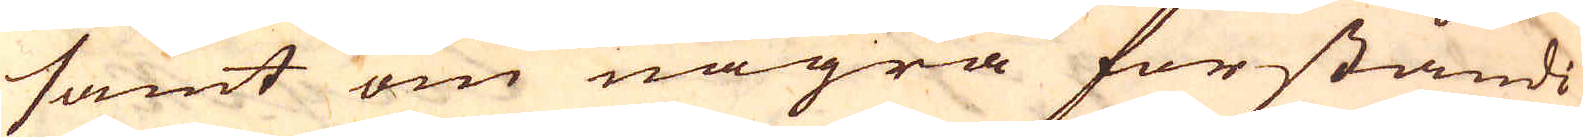samt om några förståndi-
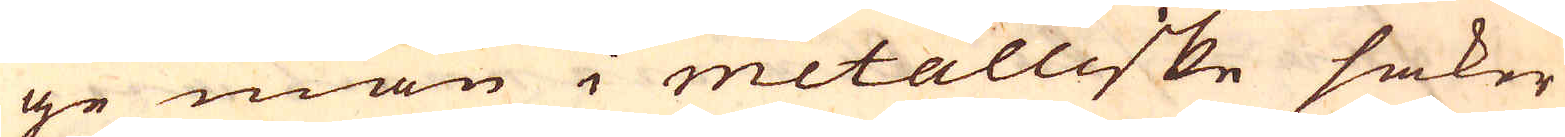ge man i metalliske saker
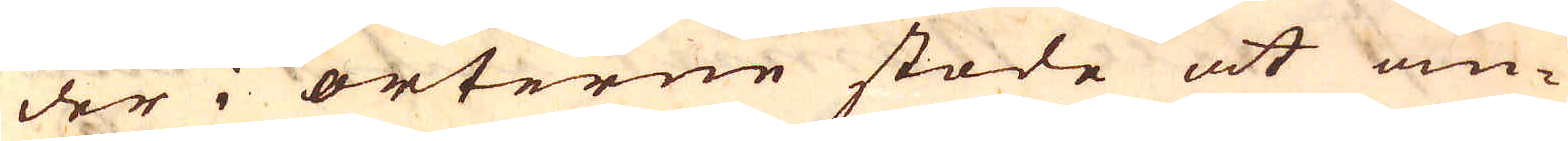der i orterne stode at om-
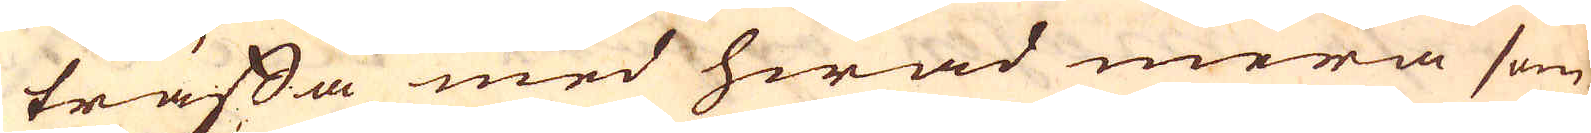träffa med hwad mera som
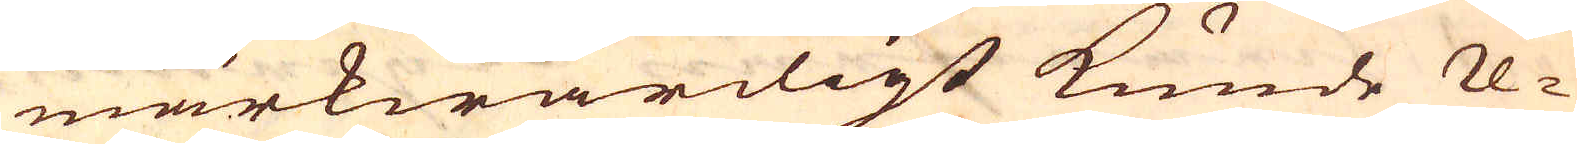märkwärdigt kunde re-
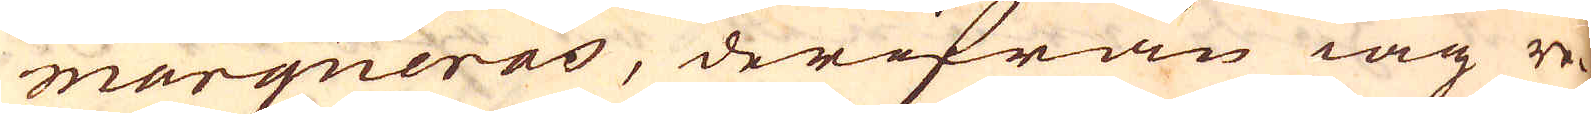marqueras, derifrån iag re-
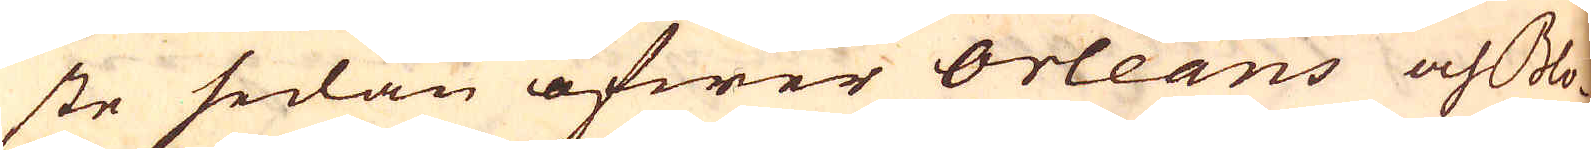ste sedan öfwer orleans och Bo-
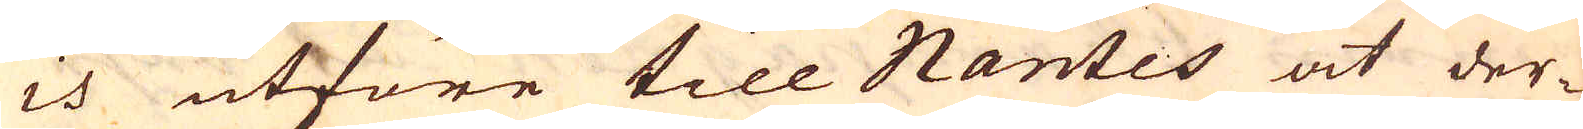is utföre till Nantes at der-
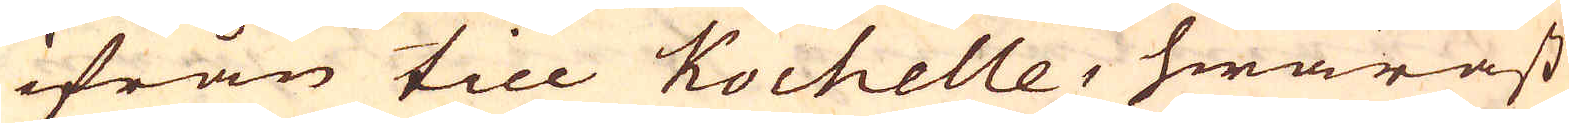ifrån till Kochelle, hwaräst
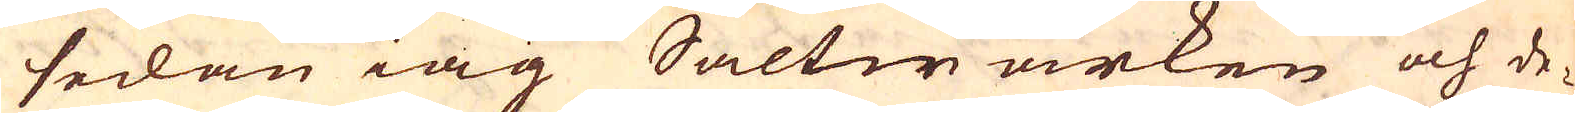sedan iag Saltwärken och de-
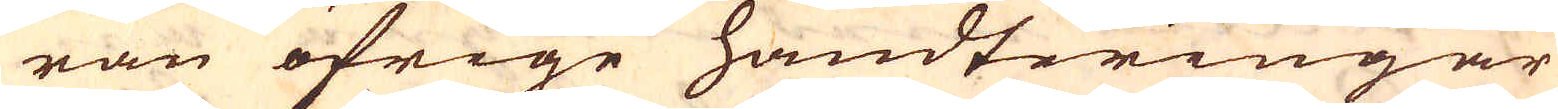ran öfrige handteringar
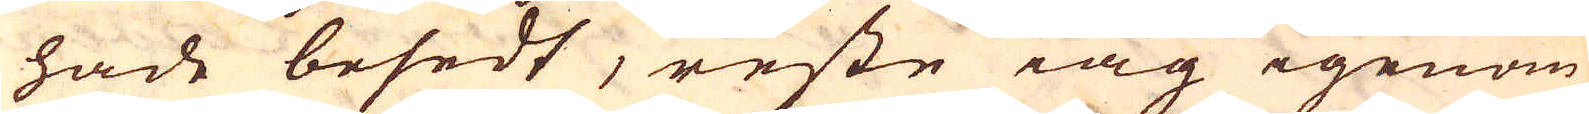hade besedt, reste iag igenom
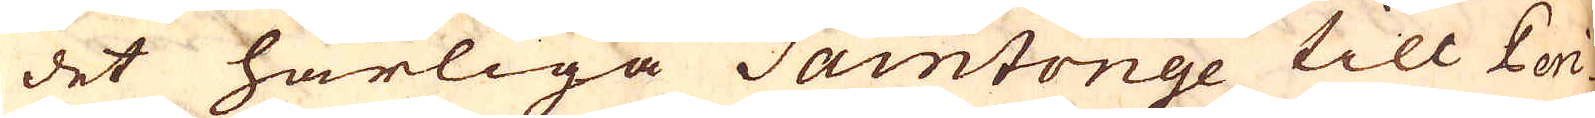det härliga Saintonge till Pori-
